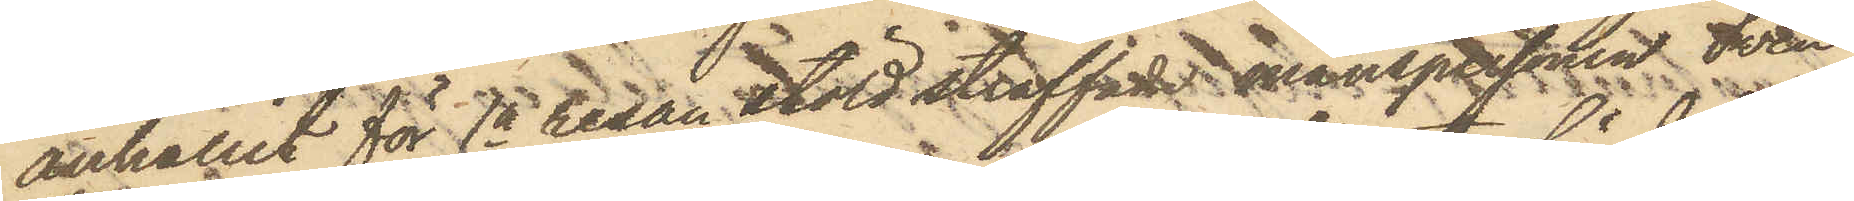anhållit för 1a resan stöld straffade manspersonen Sven
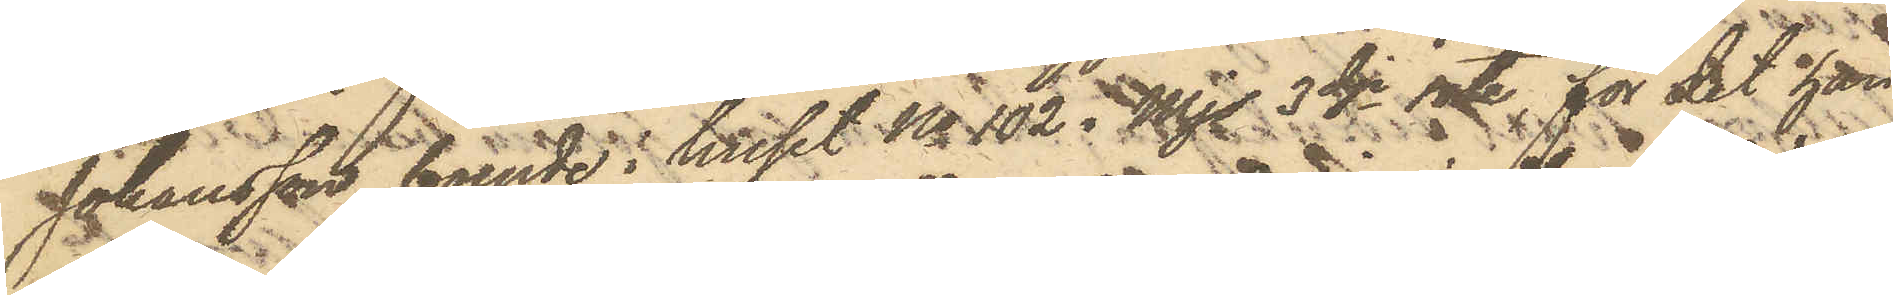Johansson, boende i huset No 102 i Mjs 3dje rote, för det han
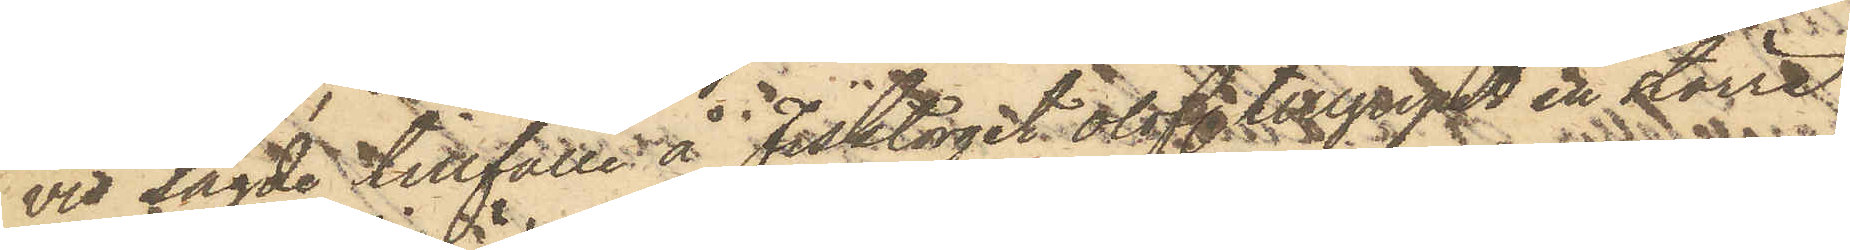vid sagde tillfälle å Fisktorget olofl. tillgripit en större
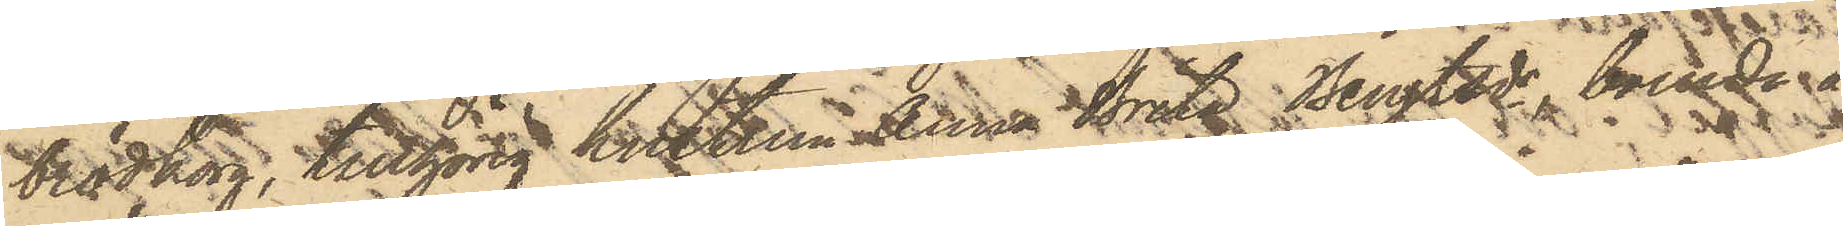brödkorg, tillhörig hustrun Anna Brita Bengtsdr, boende å
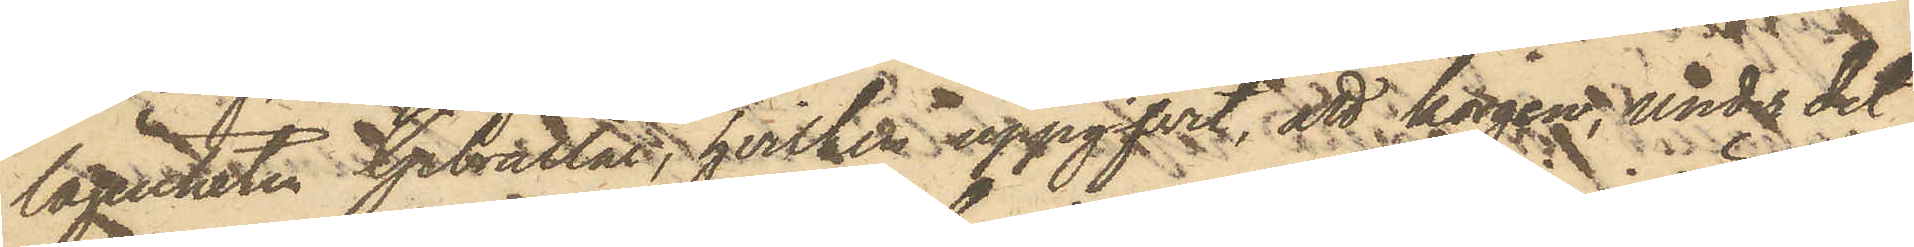lägenheten Gibraltar, hvilken uppgifvit, att korgen, under det
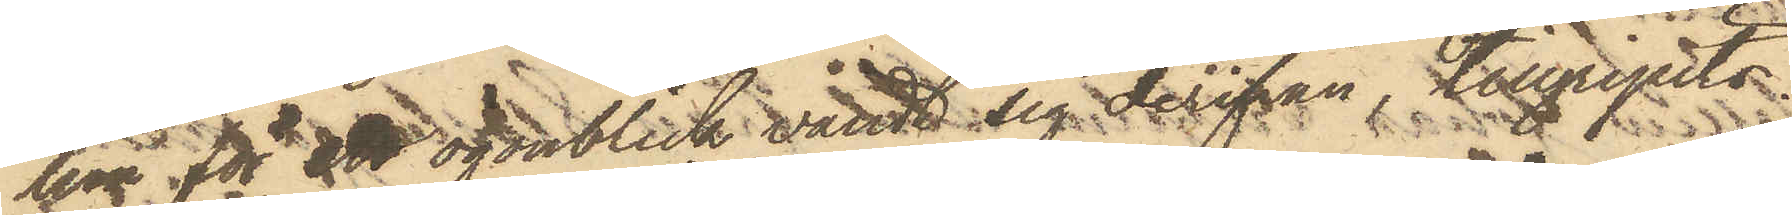hon för att ögonblick vändt sig derifrån, tillgripits.
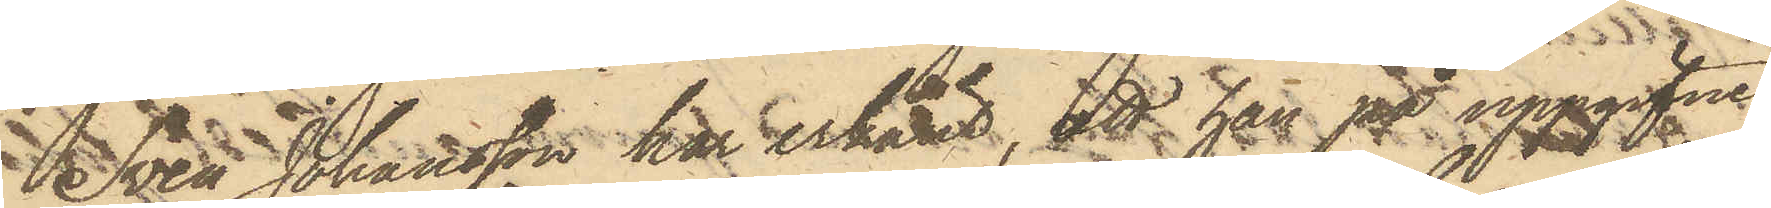Sven Johansson har erkänt, att han på uppgifne
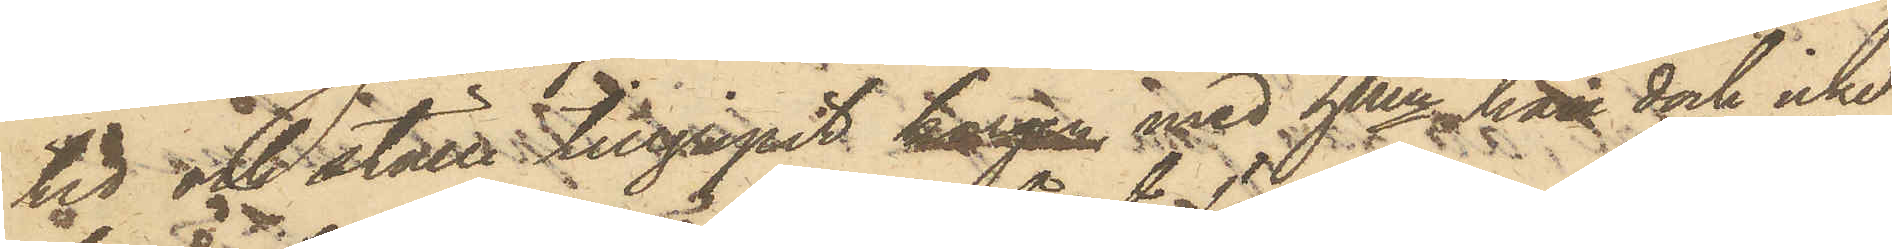tid och ställe tillgripit korgen, med hken han dock icke
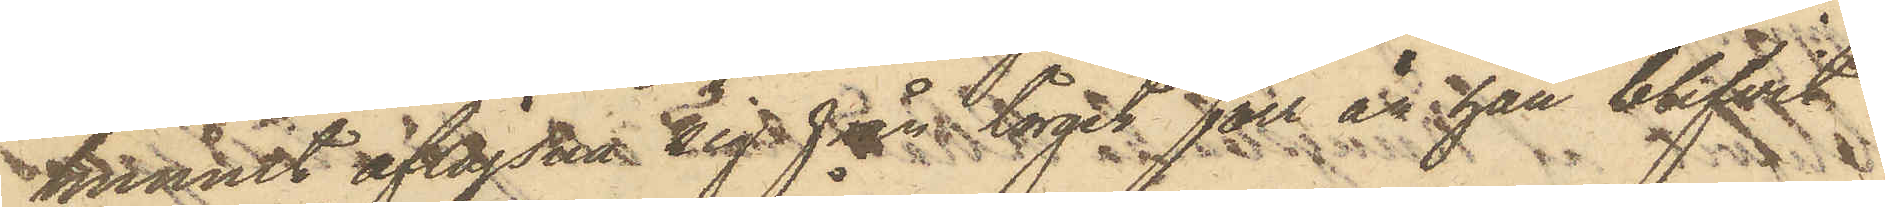hunnit aflägsna sig från torget förr än han blifvit
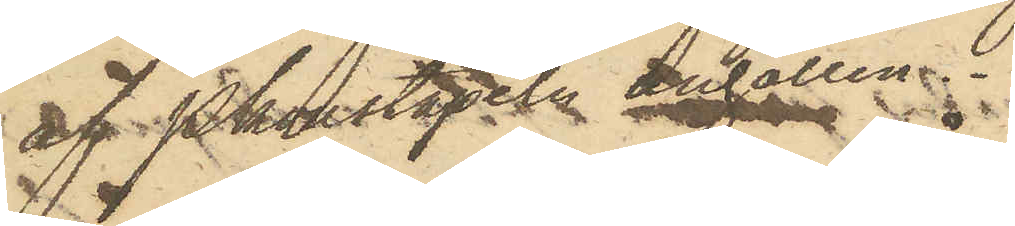af Pkonstapeln anhållen.
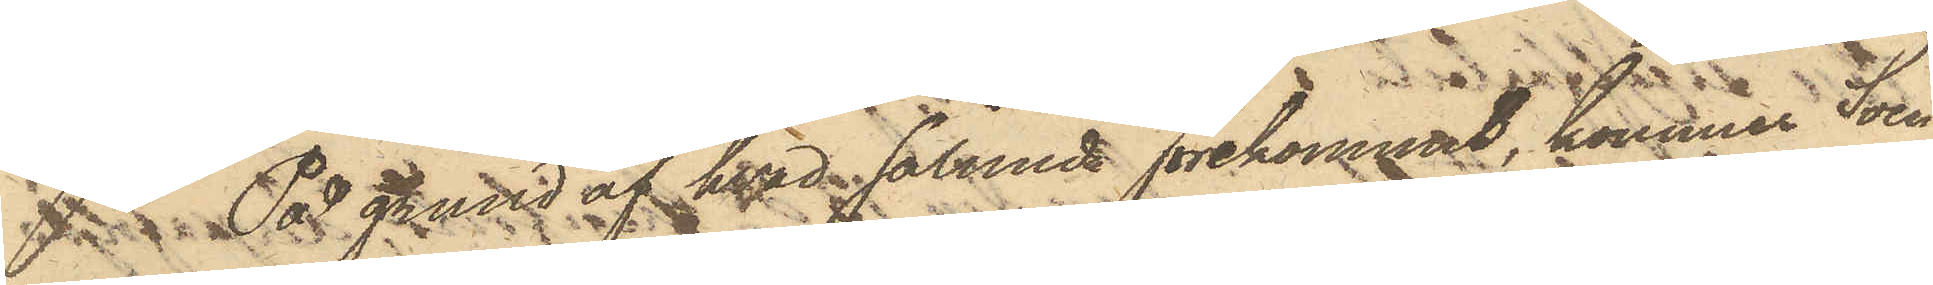På grund af hvad sålunda förekommit, kommer Sven
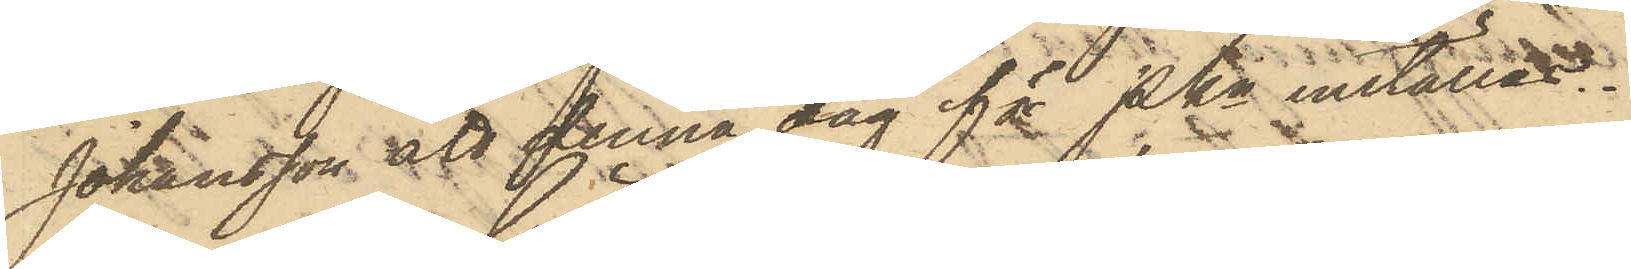Johansson att denna dag för PKn inställas.
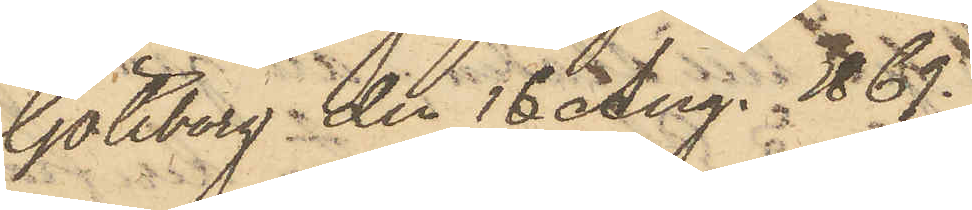Göteborg den 16 Aug. 1869.
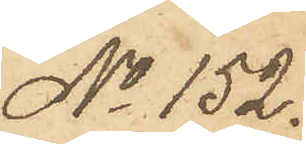No 152.
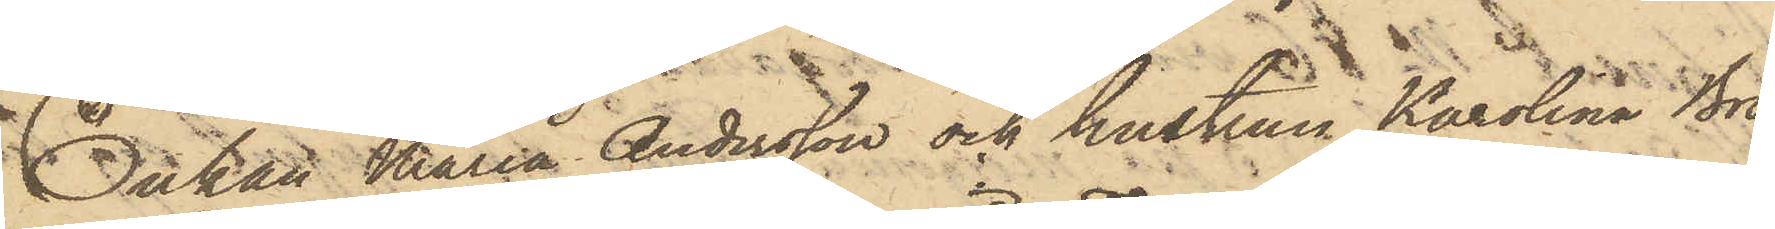Enkan Maria Andersson och hustrun Karolina Bro¬
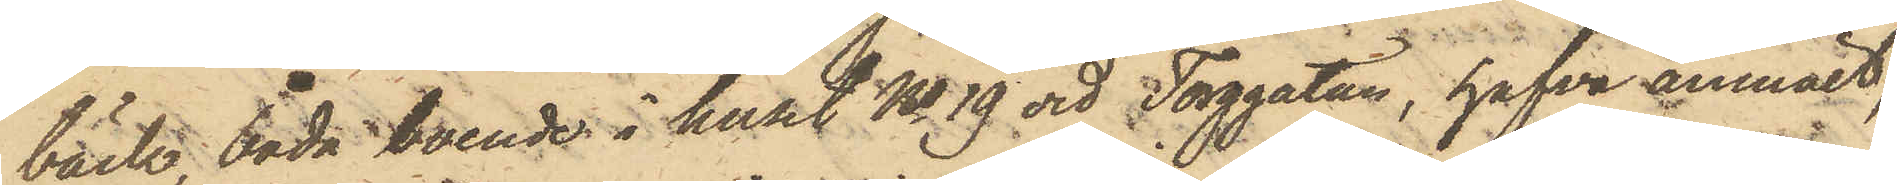bäck, båda boende i huset No 19 vid Torggatan, hafva anmält,
